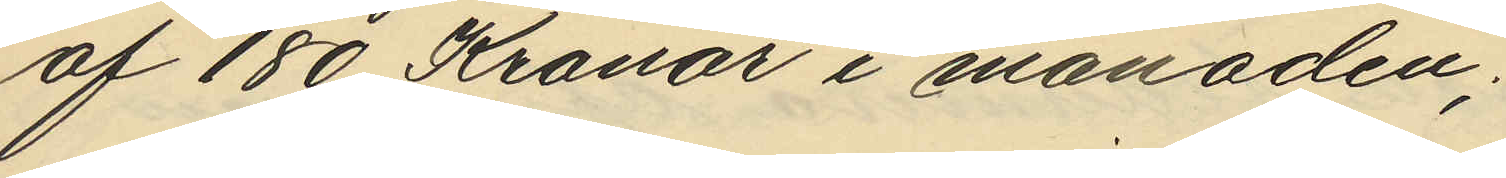af 180 Kronor i månaden;
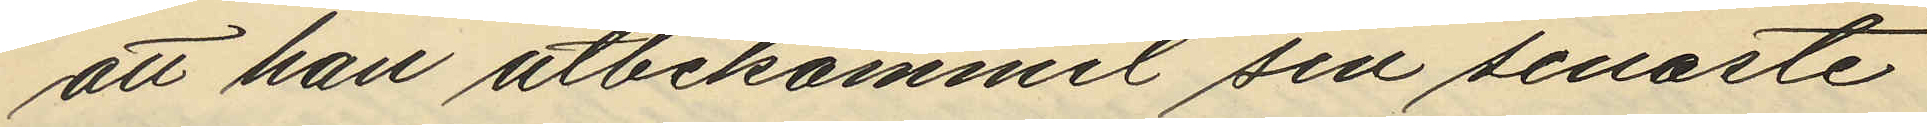att han utbekommit sin senaste
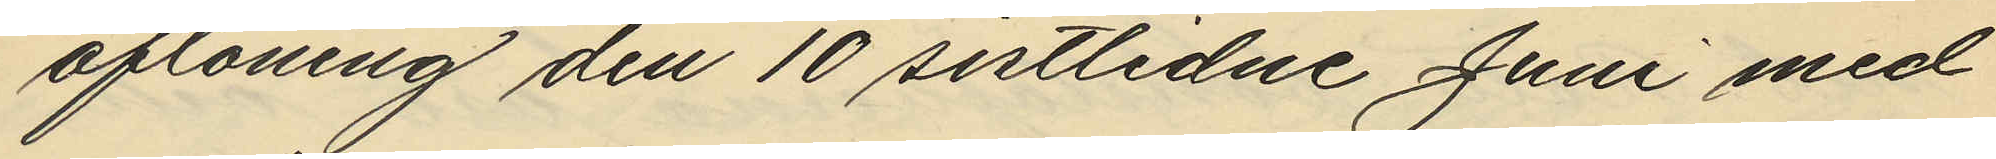aflöning den 10 sistlidne Juni med
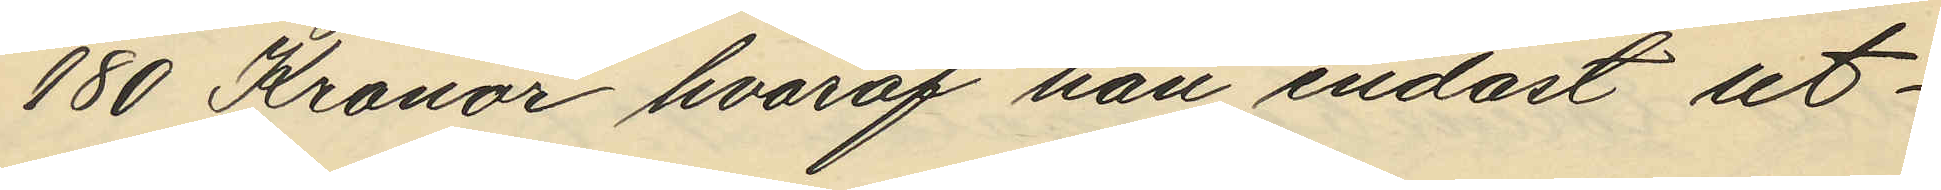180 Kronor hvaraf han endast ut¬
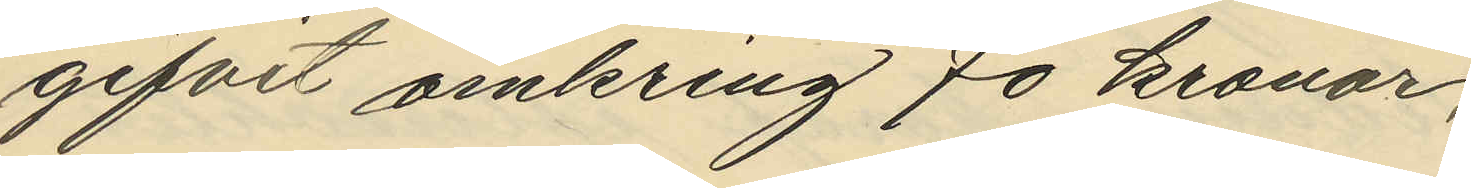gifvit omkring 70 kronor,
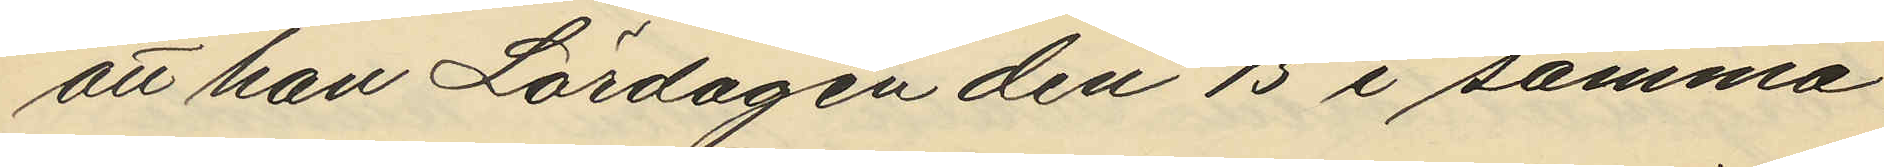att han Lördagen den 15 i samma
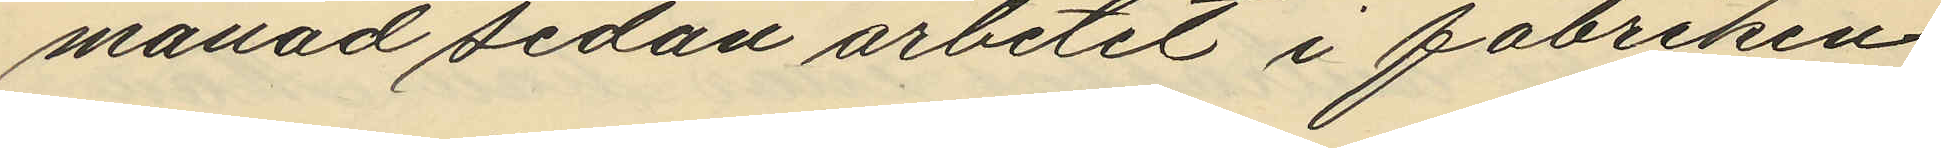månad sedan arbetet i fabriken
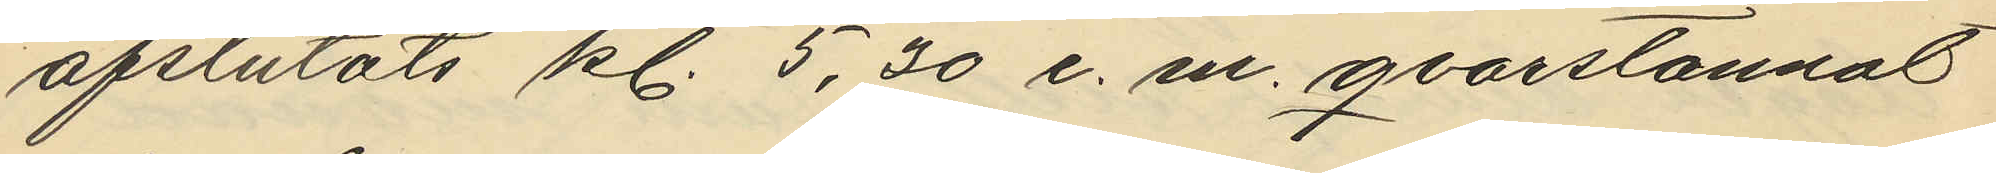afslutats kl. 5,30 e. m. qvarstannat
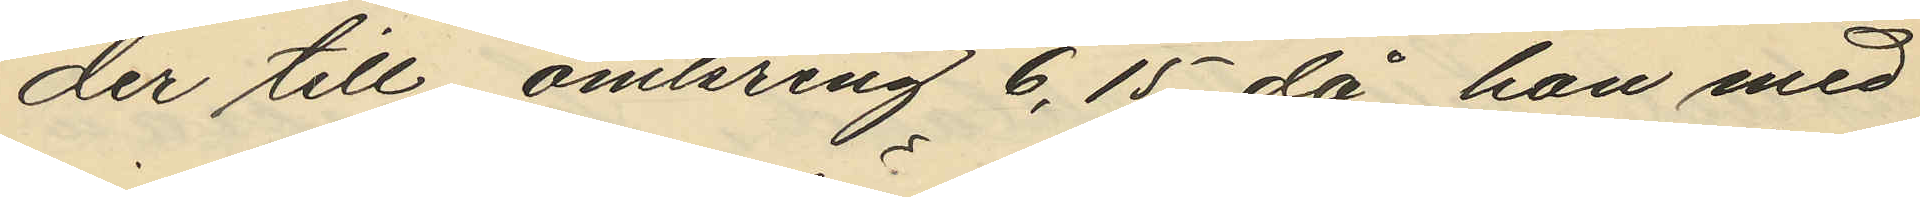der till omkring 6,15 då han med
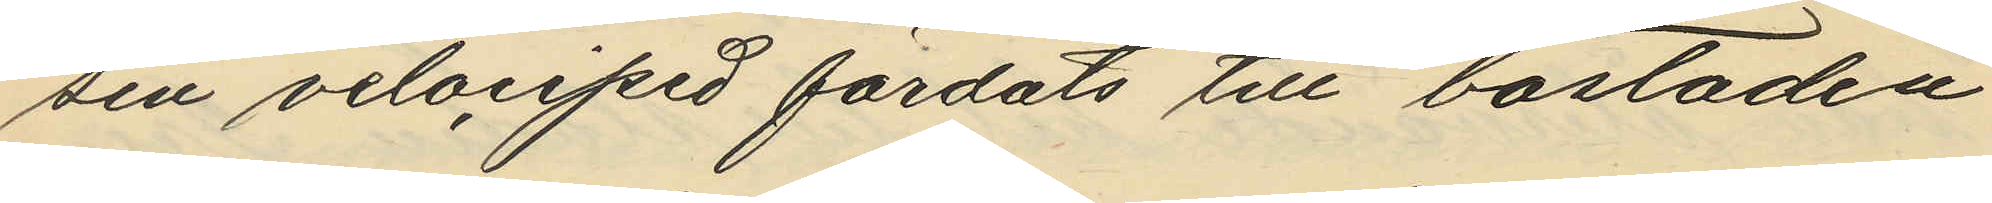sin velociped färdats till bostaden
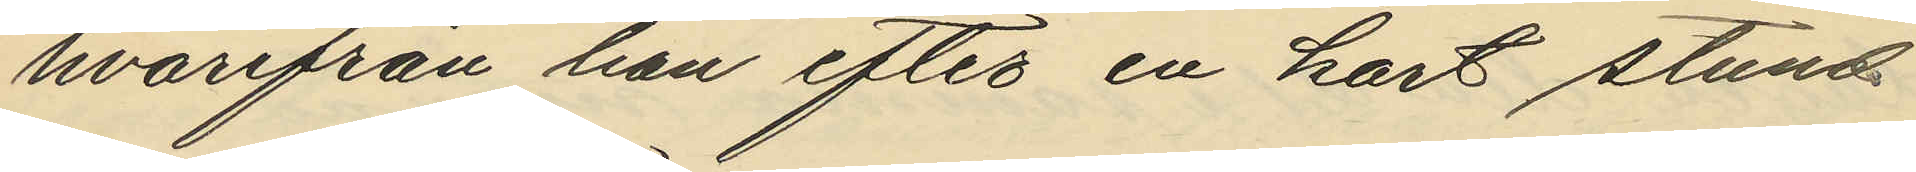hvarifrån han efter en kort stund
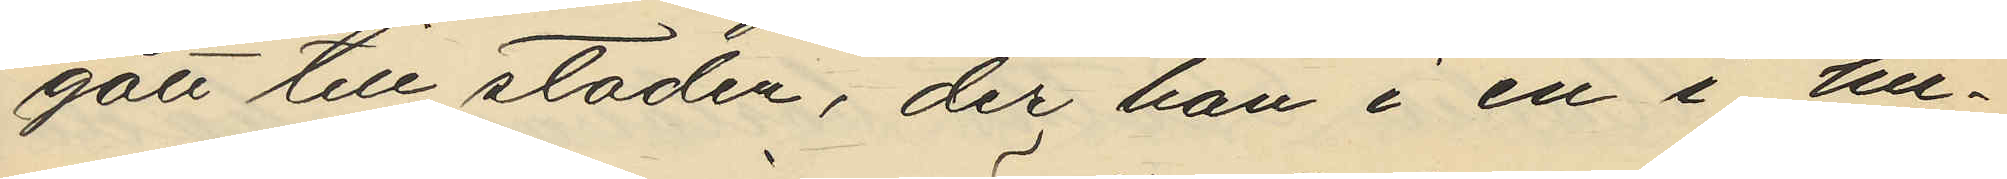gått till staden; der han i en i hu¬
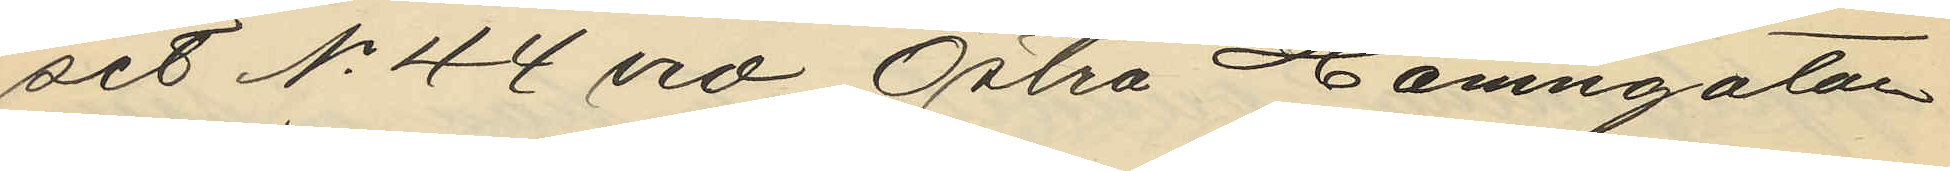set No 44 vid Östra Hamngatan
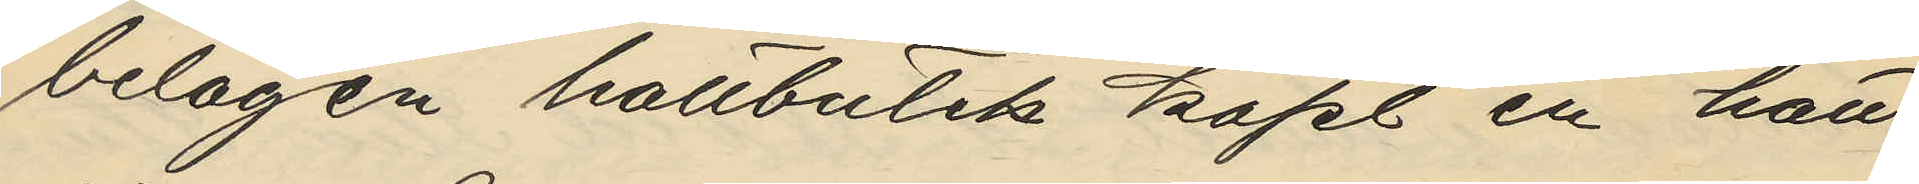belägen hattbutik köpt en hatt
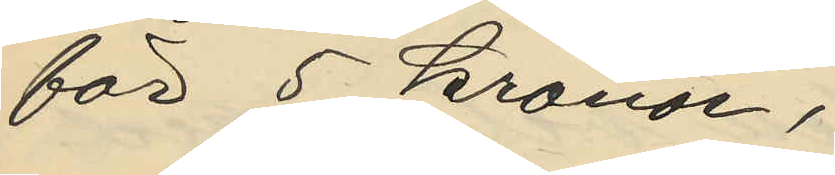för 5 kronor,
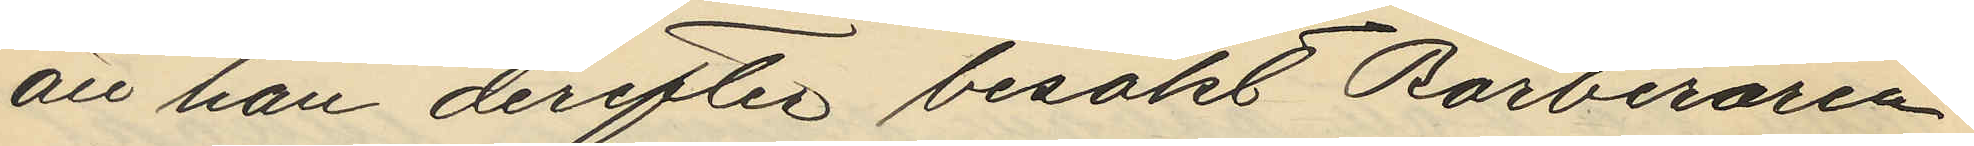att han derefter besökt barberaren
